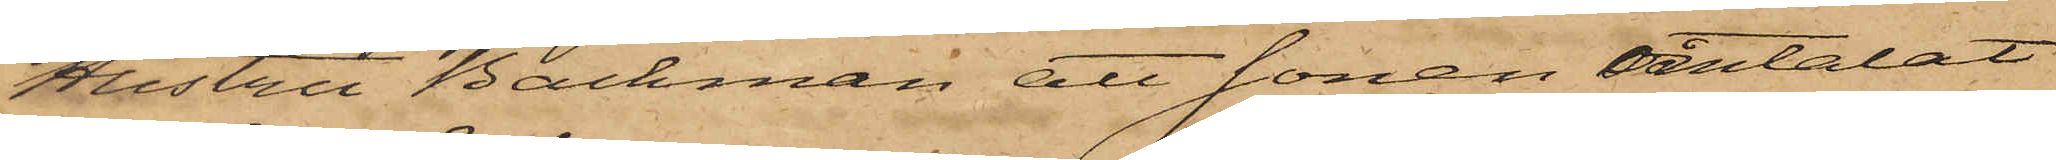Hustru Backman att sonen omtalat
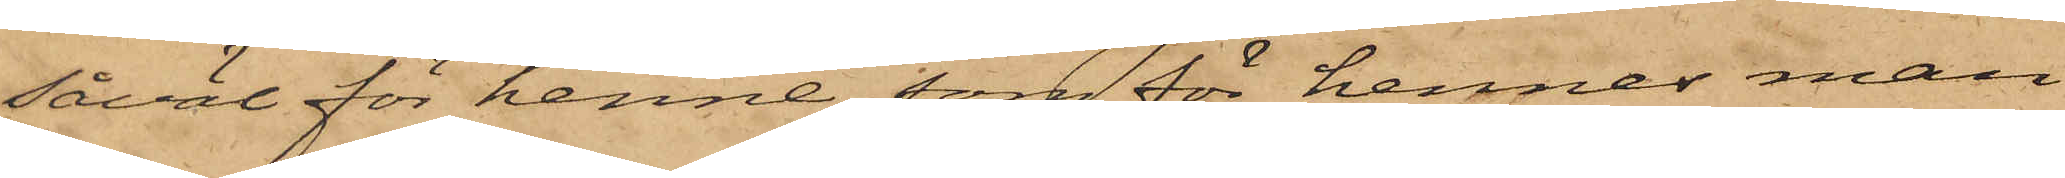såväl för henne som för hennes man
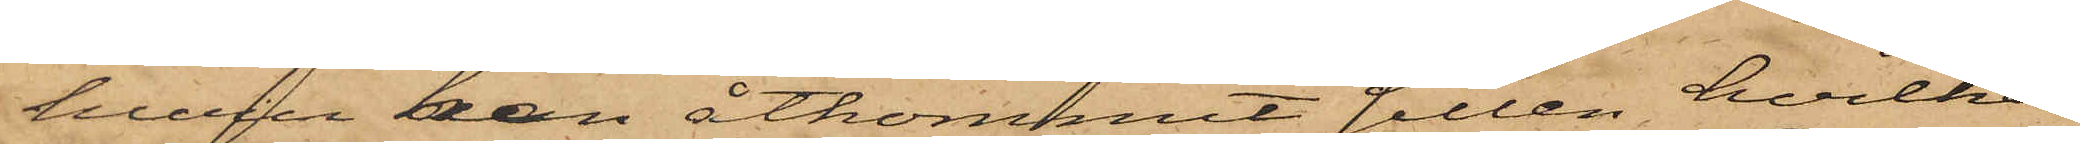huru han åtkommit sillen, hvilken
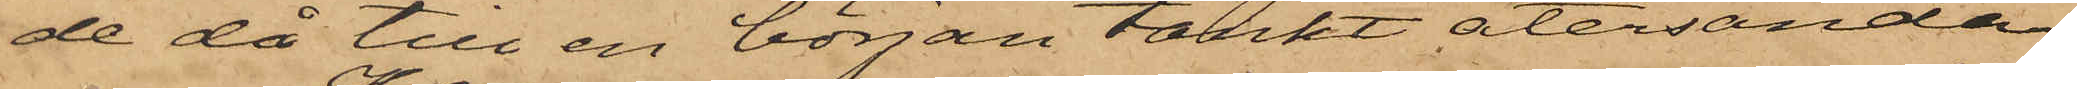de då till en början tänkt återsända
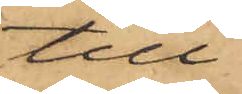till
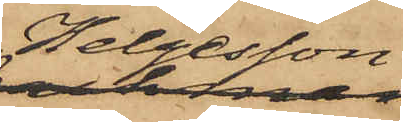Helgesson
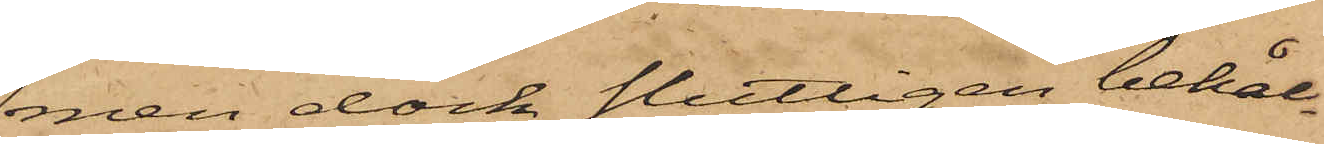men dock slutligen behål¬
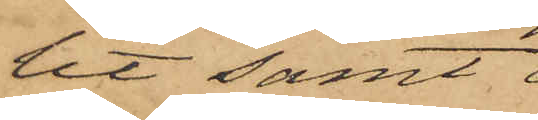lit samt
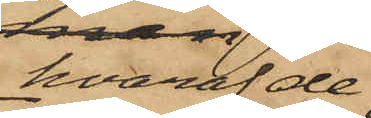hvaraf de
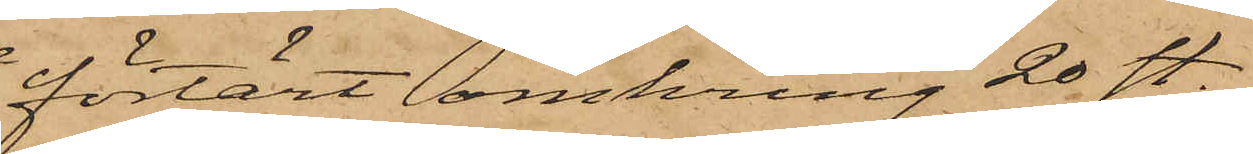förtärt omkring 20 st.
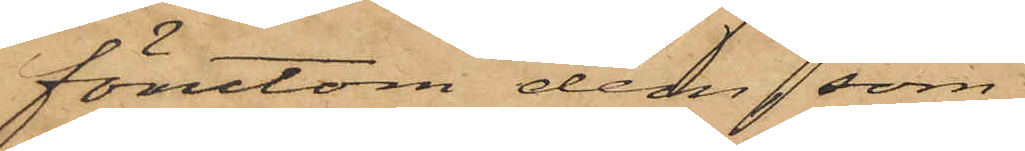förutom dem, som
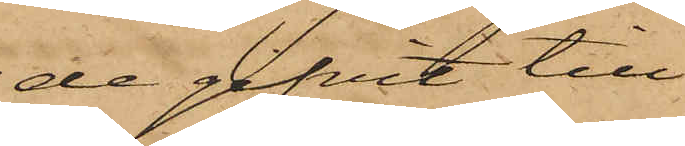de gifvit till
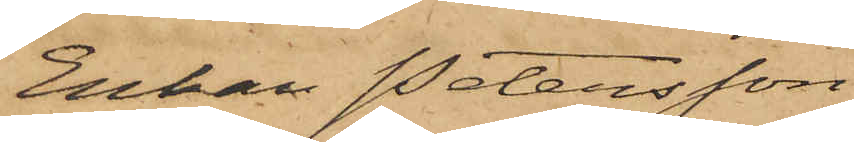Enkan Petersson
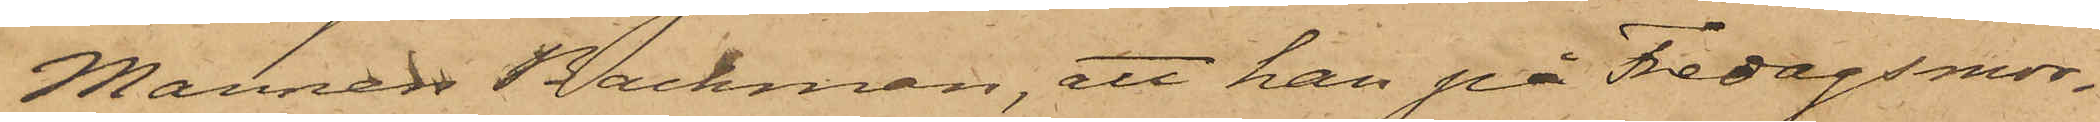Mannen Backman, att han på Fredagsmor¬
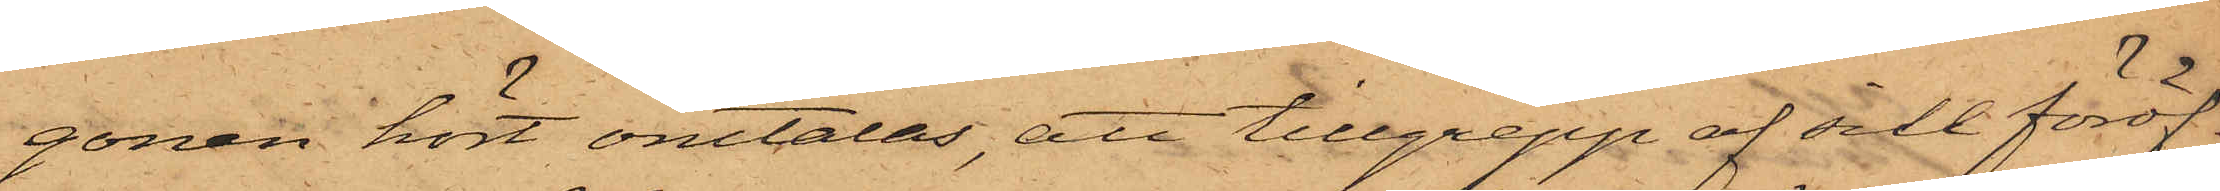gonen hört omtalas, att tillgrepp af sill föröf¬
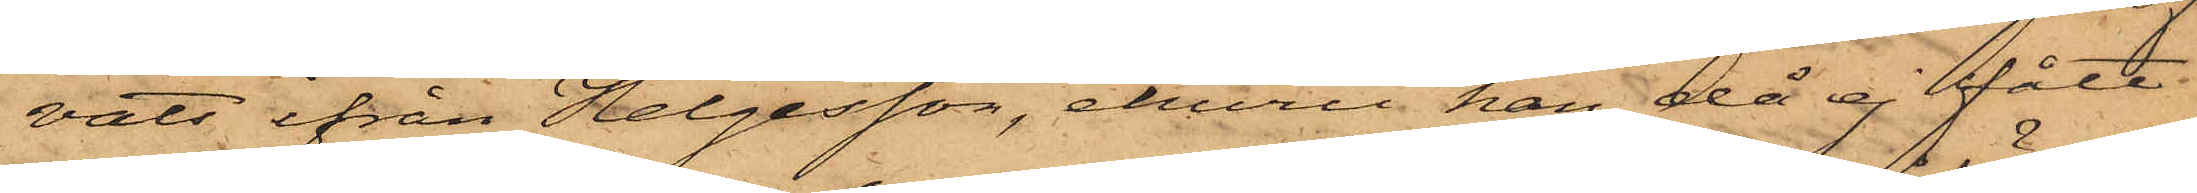vats ifrån Helgesson, ehuru han då ej fått
